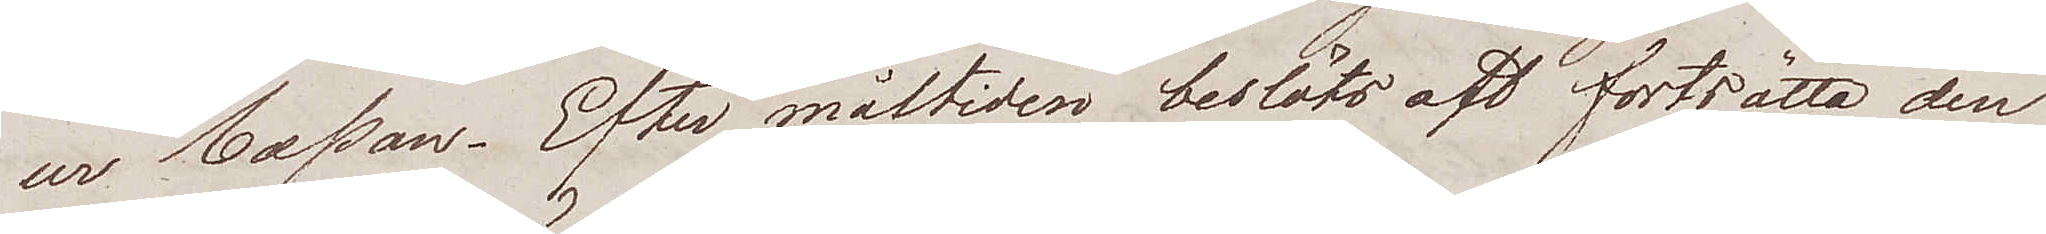ur Cassan. Efter måltiden beslöts aft fortsätta den
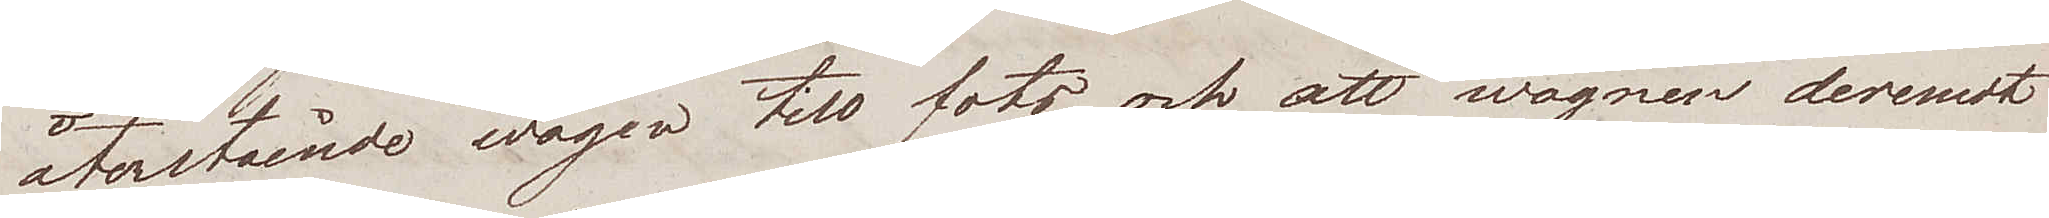återstående wägen till fots och att wagnen deremot
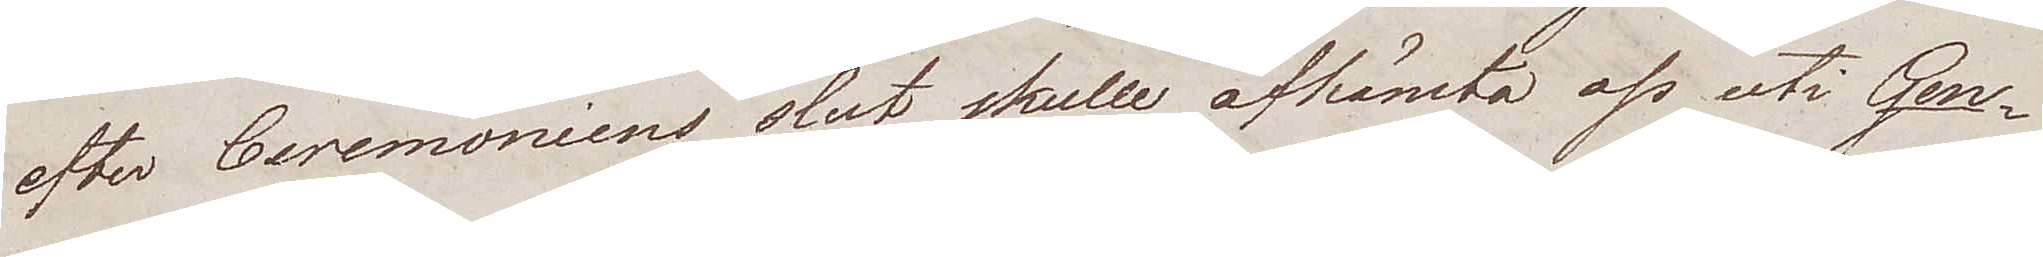efter Ceremoniens slut skulle afhämta oss uti Gen¬
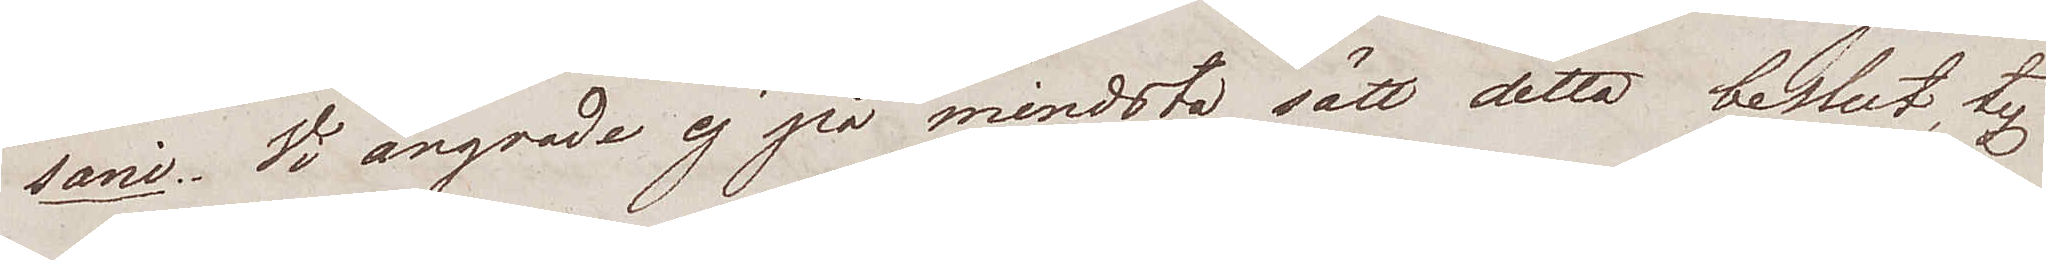sani. Vi ångrade ej på mindsta sätt detta beslut, ty
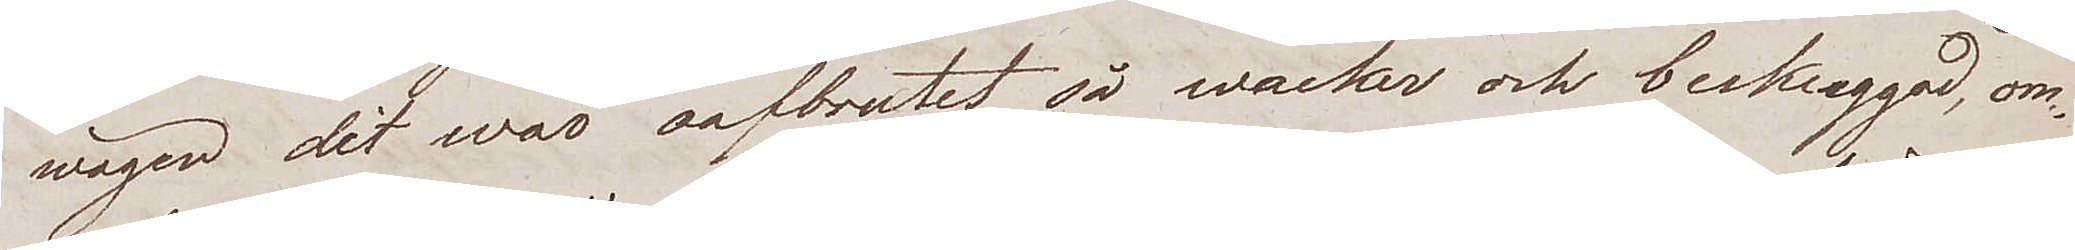wägen dit war oafbrutet så wacker och beskuggad, om¬
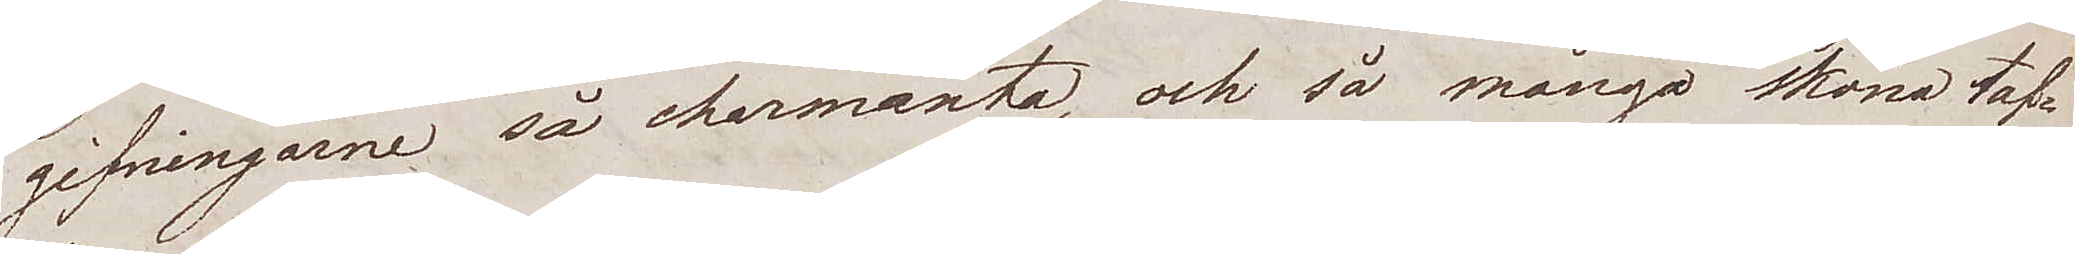gifningarne så charmanta, och så många sköna taf¬
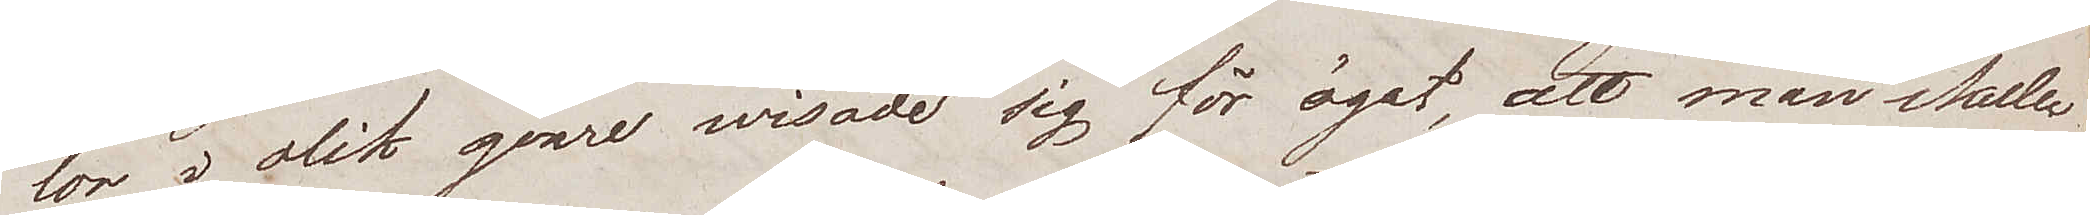lor i olik genre wisade sig för ögat, att man skulle
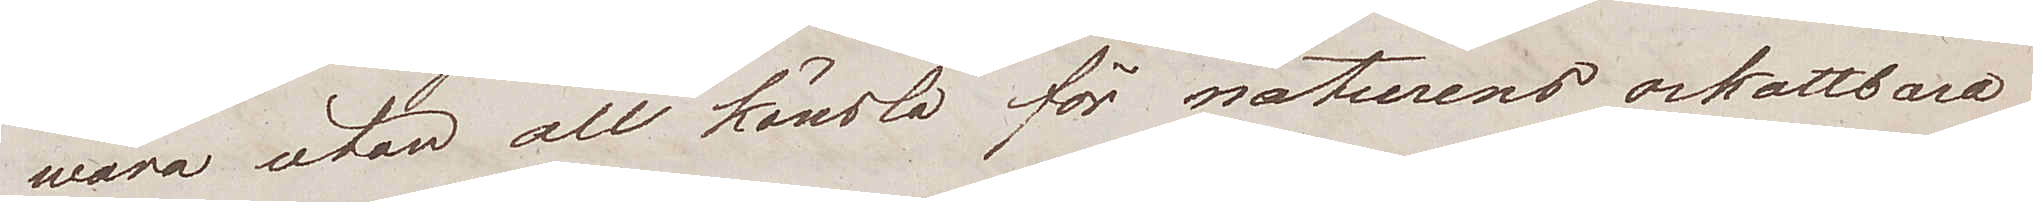wara utan all känsla för naturens oskattbara
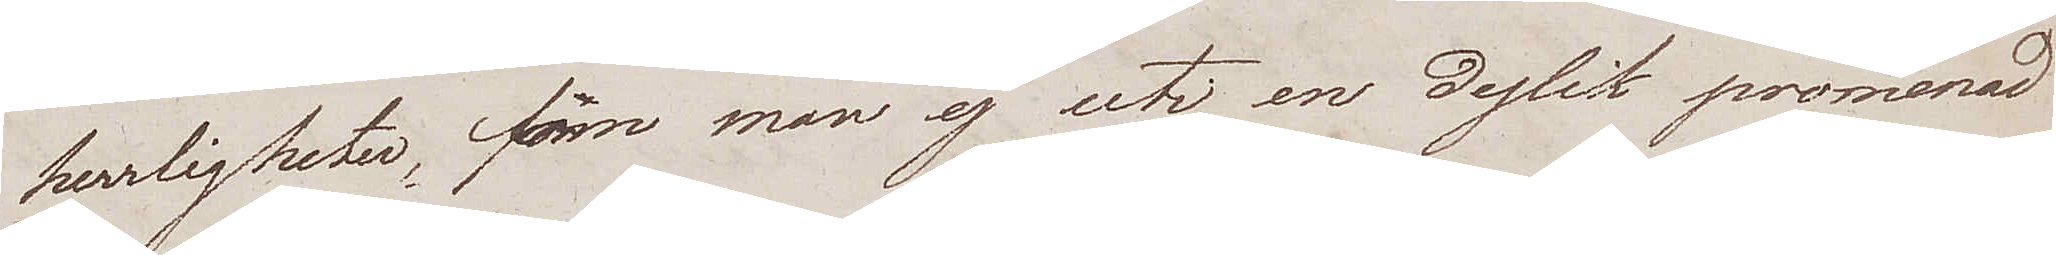herrligheter, om man ej uti en dylik promenad
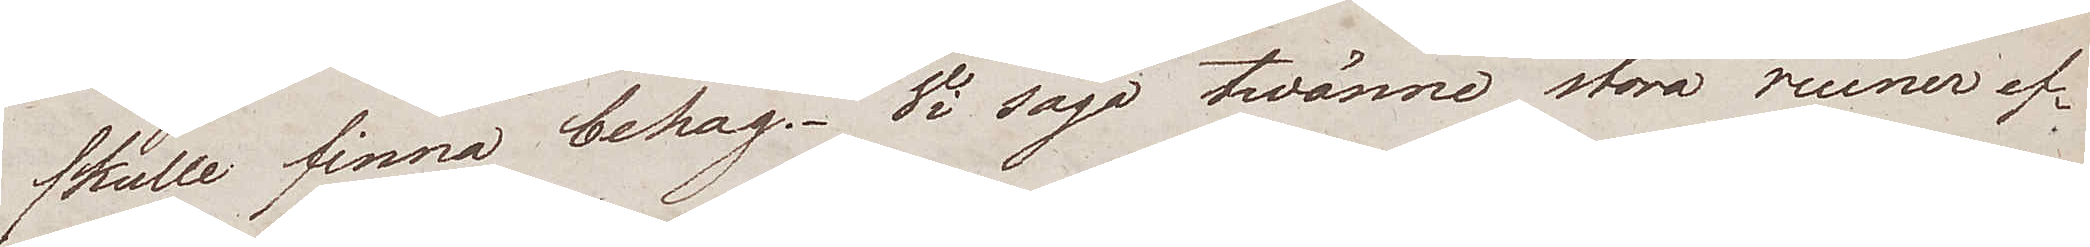skulle finna behag. Vi sågo twänne stora ruiner ef¬
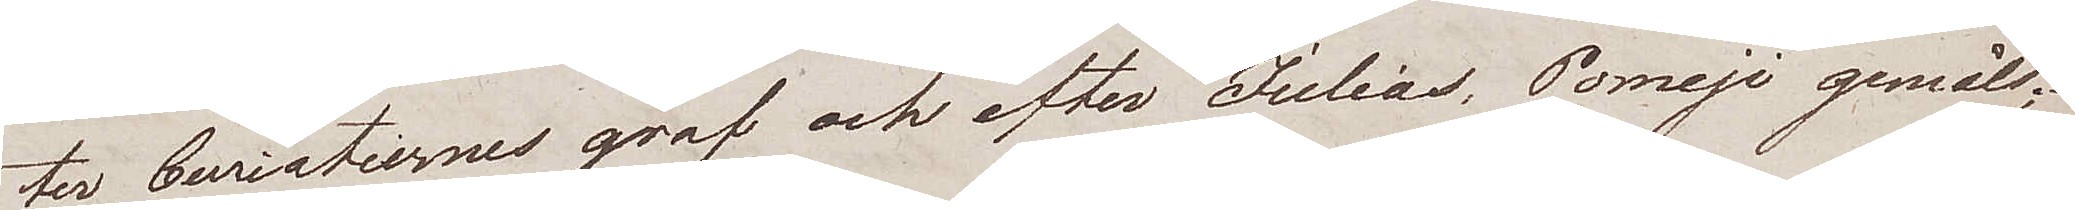ter Curiatiernes graf och efter Julias, Pomeji gemåls
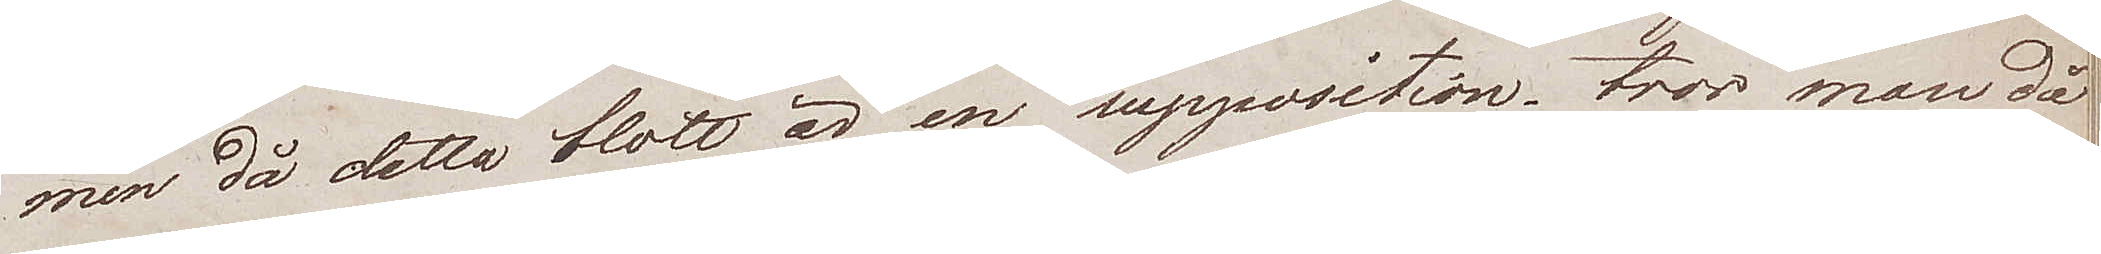men då detta blott är en supposition, tror man då
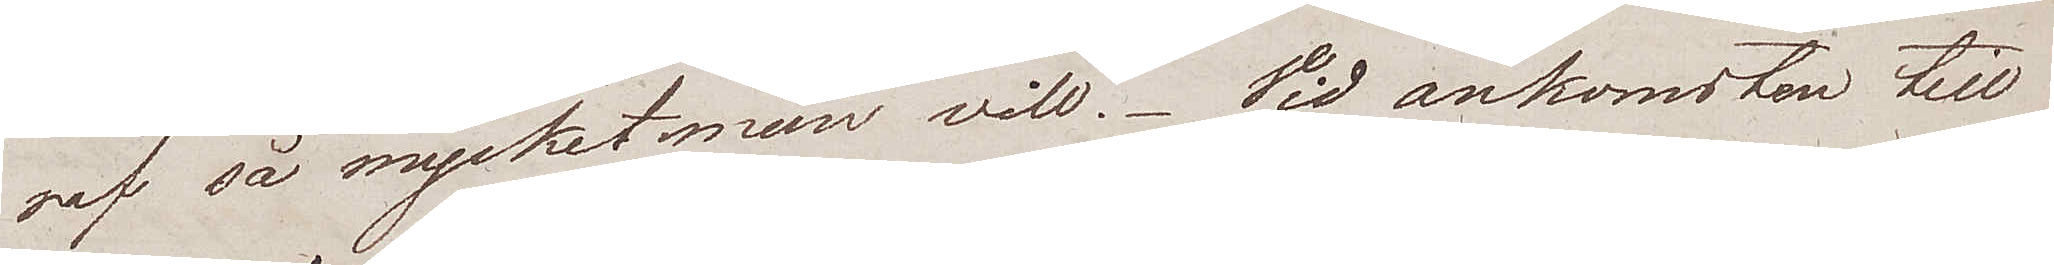af så mycket man vill. Vid ankomsten till
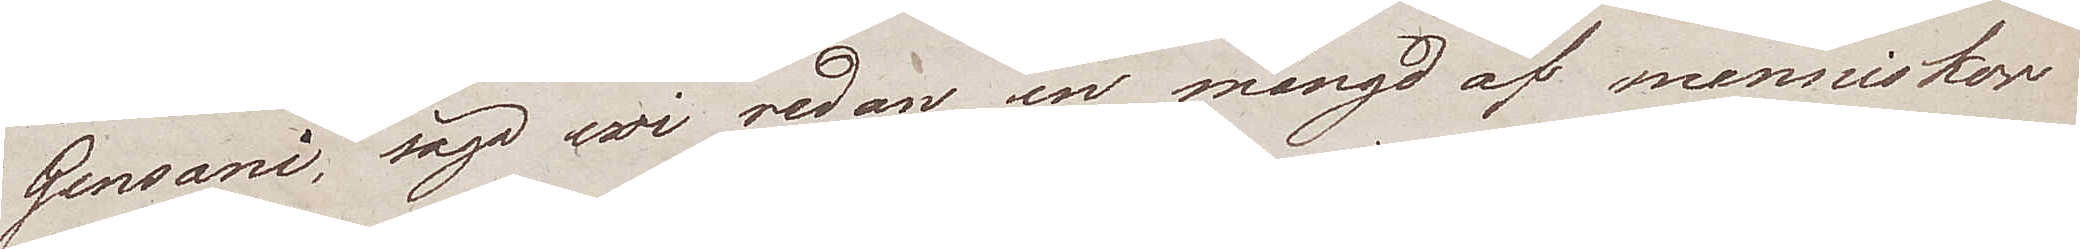Gensani, sågo wi redan en mängd af menniskor
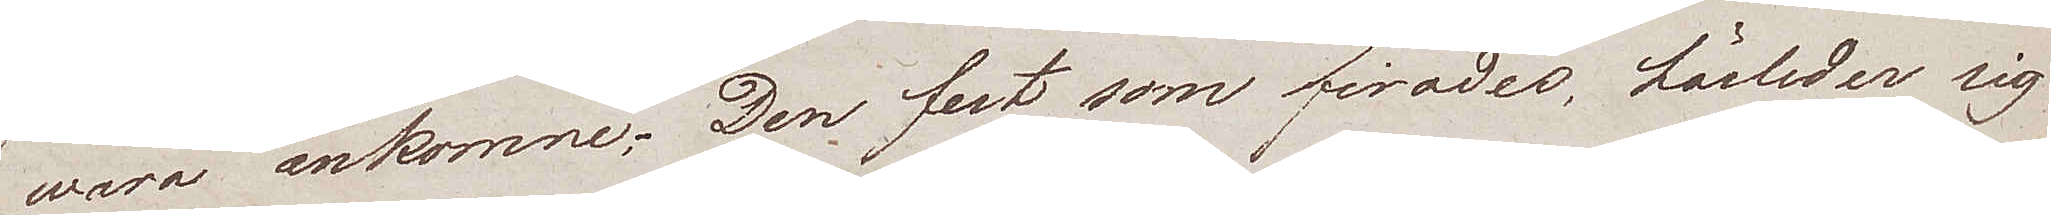wara ankomne. Den fest som firades, härleder sig
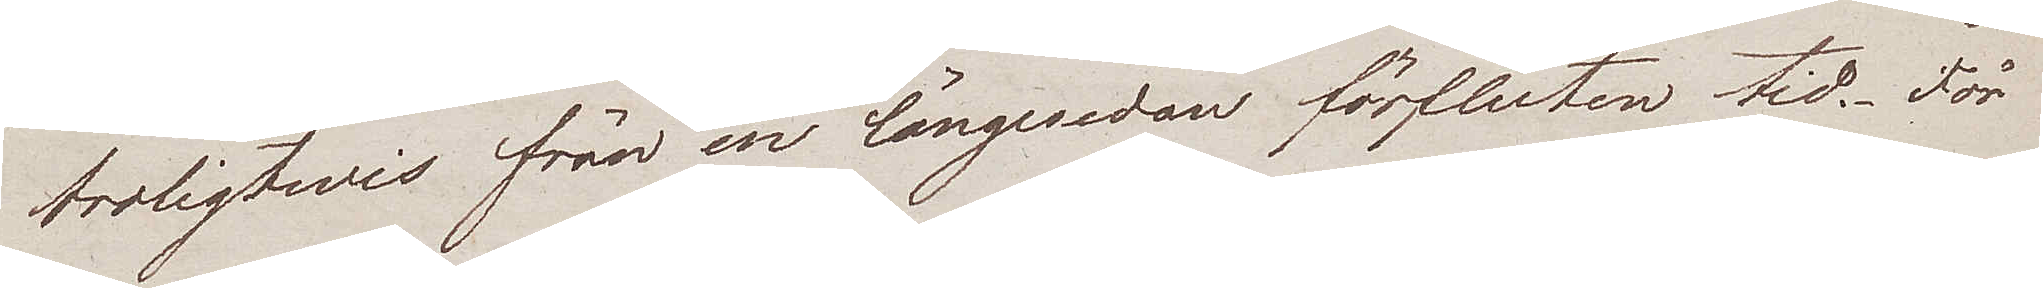troligtwis från en längesedan förfluten tid. För
